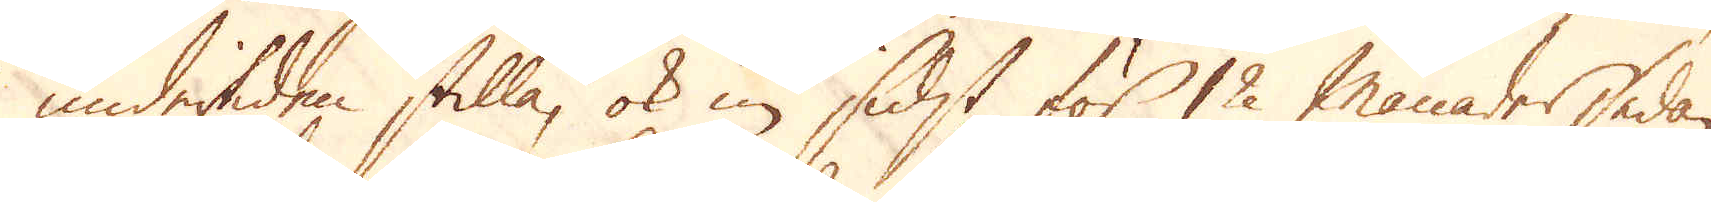undertiden stilla, ok in sidst för 12 månader sedan
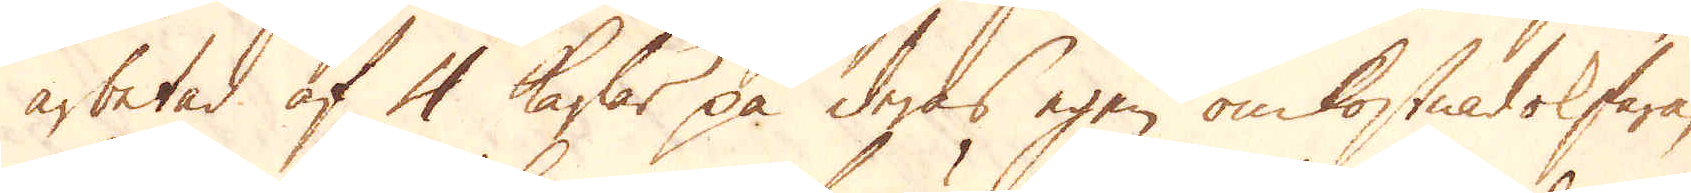arbetad af 4 karlar på deras egen omkostnad ok fara,
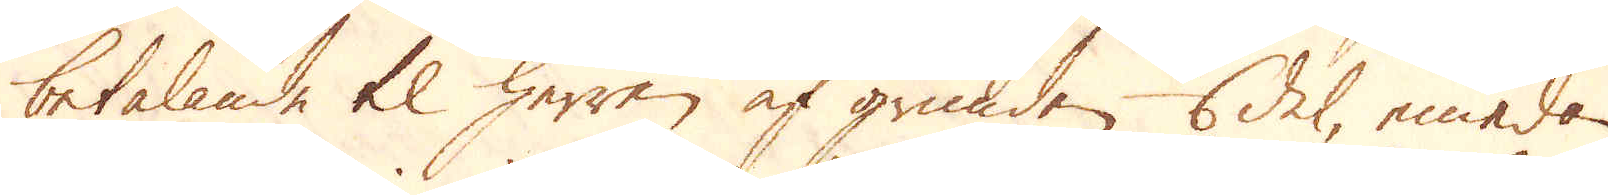betalande til herren af grunden 1/6 del, emedan
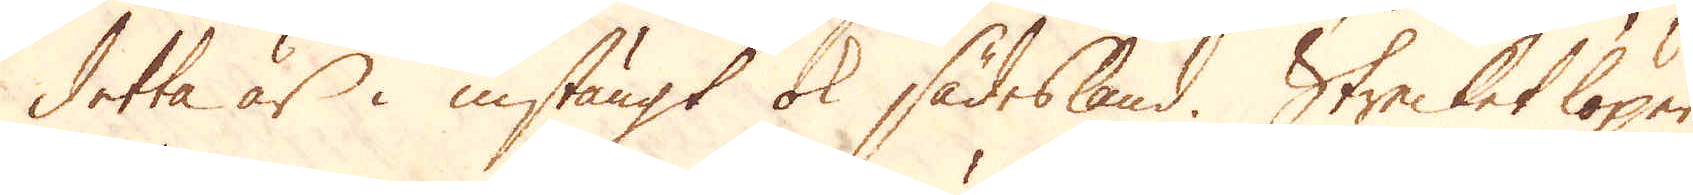detta är i instängt ok sädesland. Strecket löper
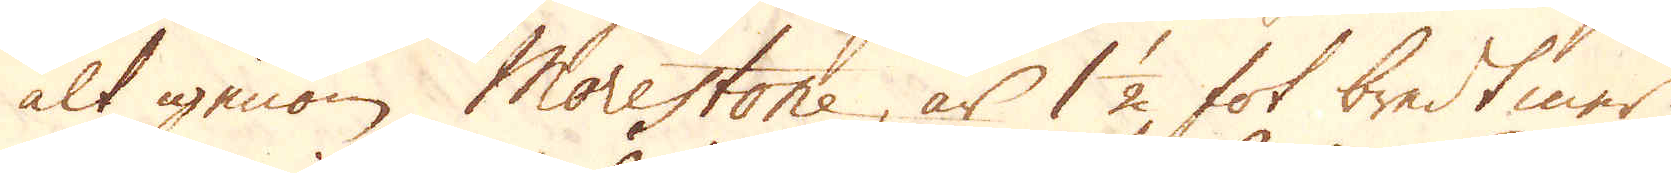alt igenom Morestone, är 1 1/2 fot bredt mer.
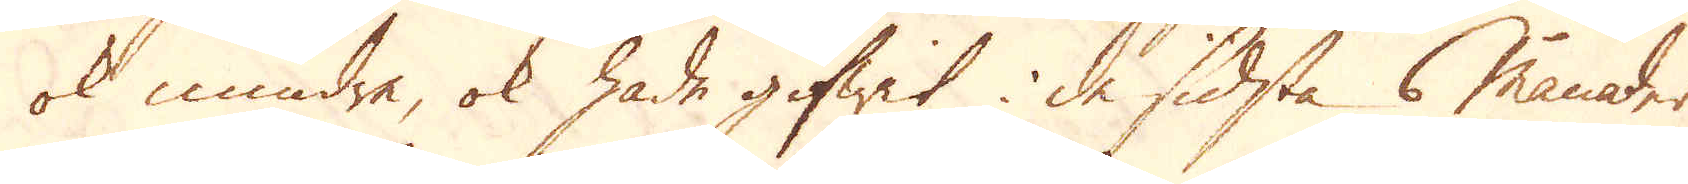ok mindre, ok hade gifwit i de sidsta 6 månader
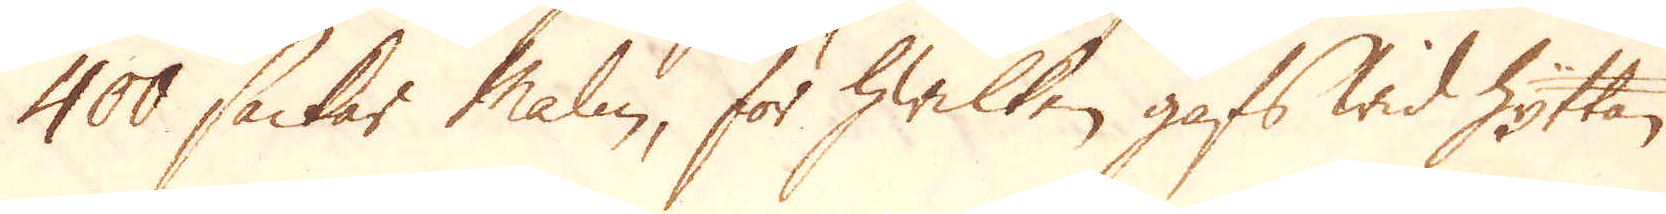4000 säckar malm, för hwilken gafs wid Hyttan
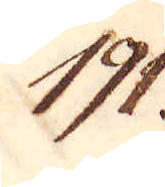191.
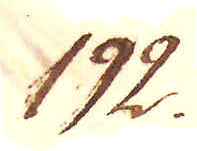192.
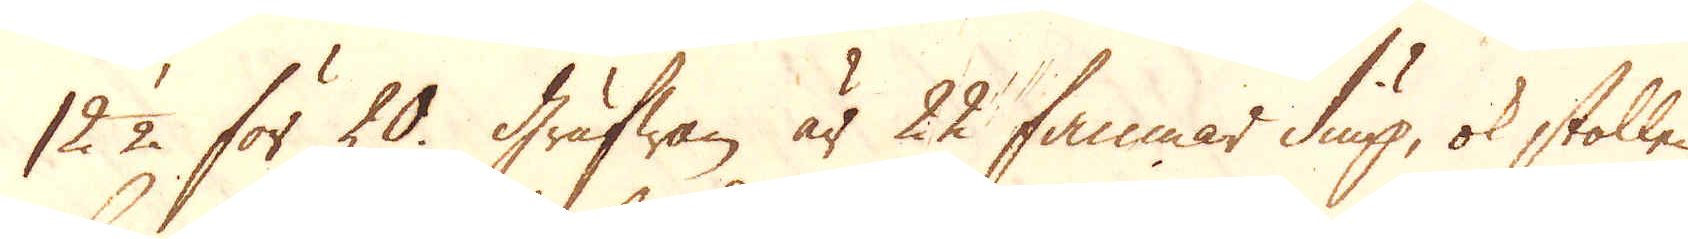12 1/2 för 20. Grufwan är 22 famnar diup, ok stollen,
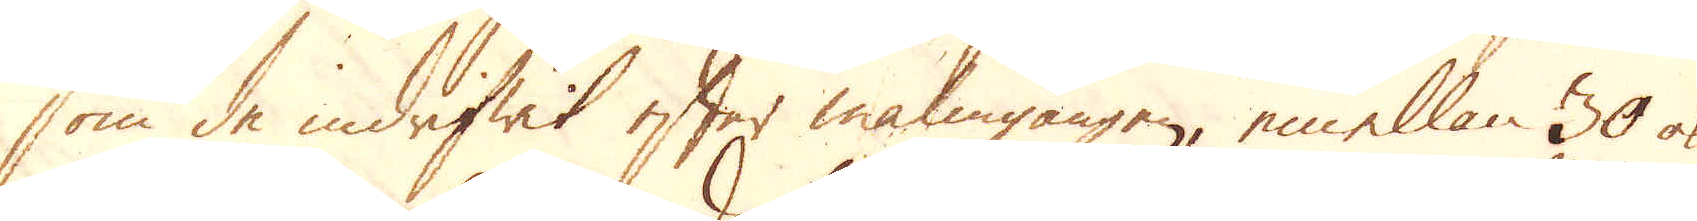som de indrifwit efter malmgången, emellan 30 ok
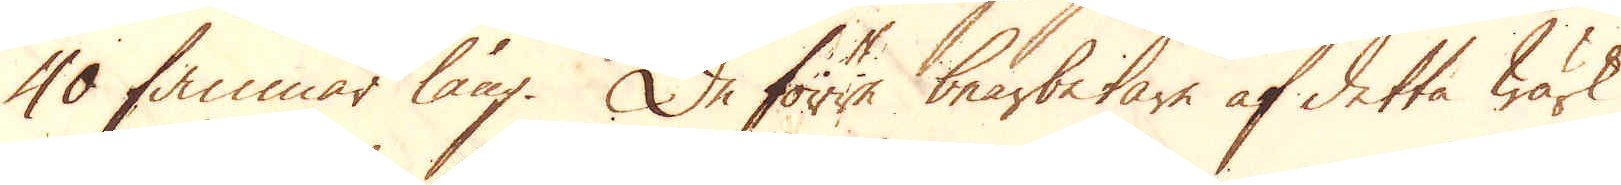40 famnar lång. De förre bearbetare af detta Wärk
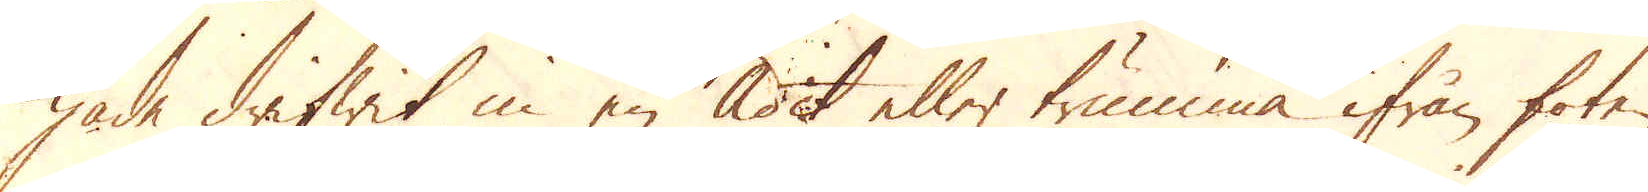hade drifwit in en Adit eller trumma ifrån foten
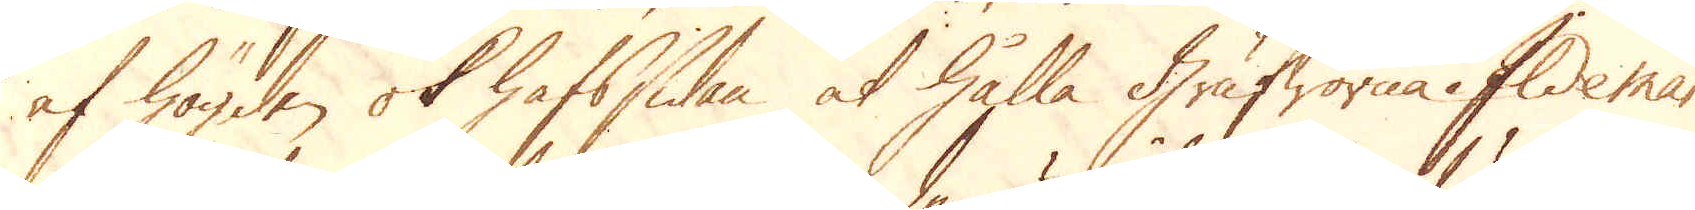af högden ok hafssidan at hålla Grufworna i Ildeman
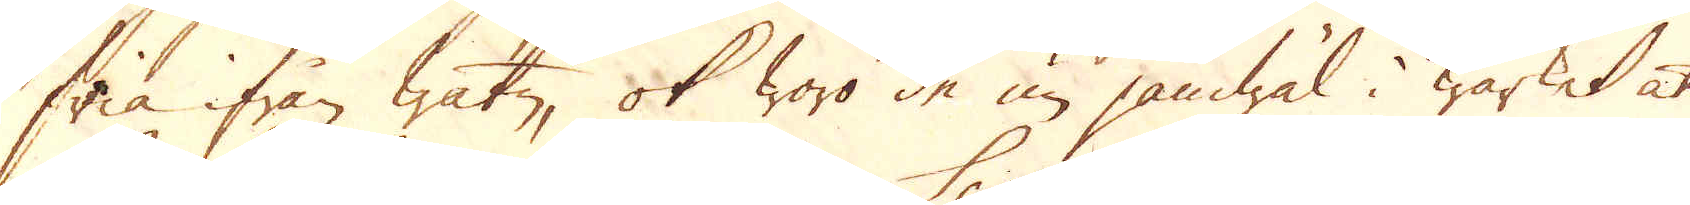fria ifrån watn, ok woro de nu jämwäl i wärket at
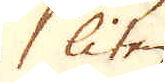liten
